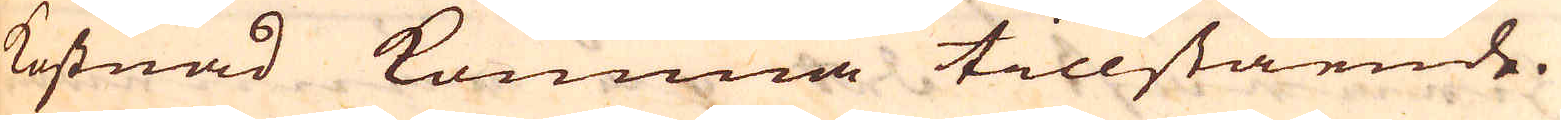kostnad komma tillstående.
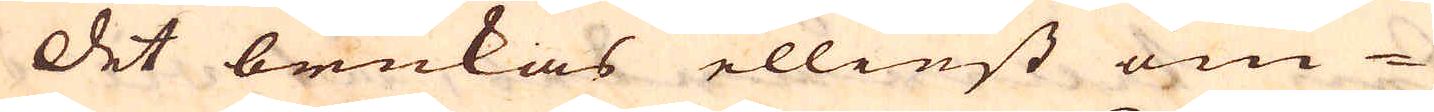Det brukas elliest om-
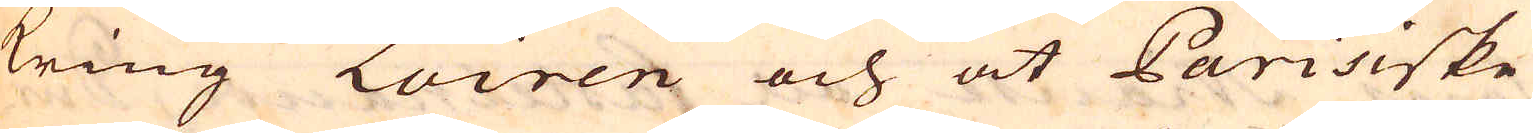kring Loiren och åt Parisiske
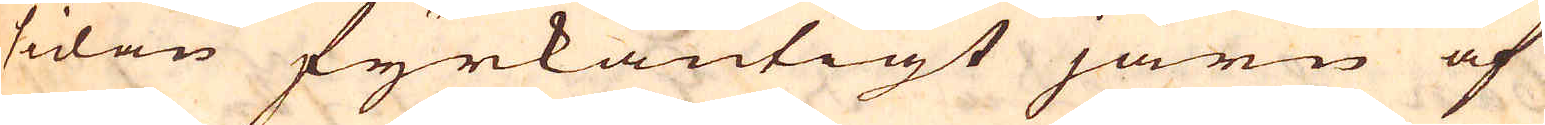sidan fyrkantigt järn af
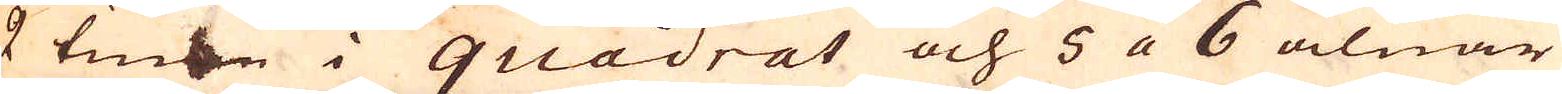2 tum i quadrat och 5 a 6 alnar
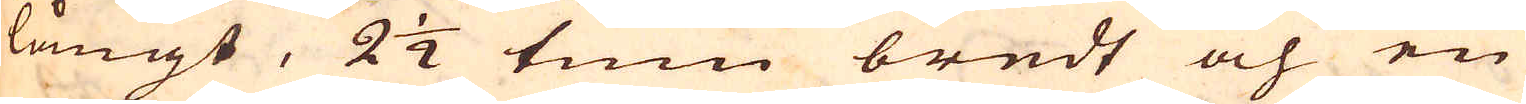långt, 2 1/2 tum bredt och en
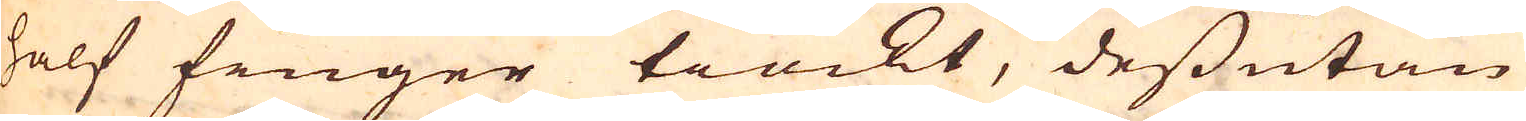half finger tiockt, dessutan
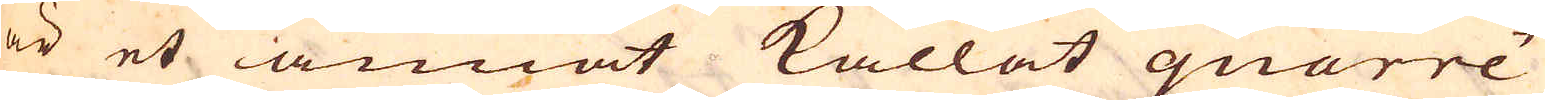är et annat kallat quarré
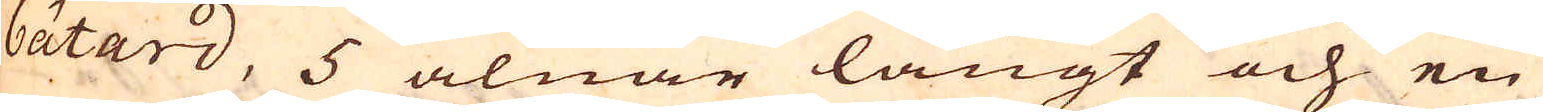bâtard, 5 alnar långt och en
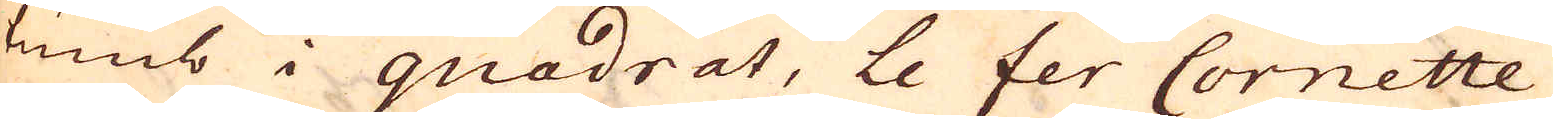tumb i quadrat, Le fer Cornette
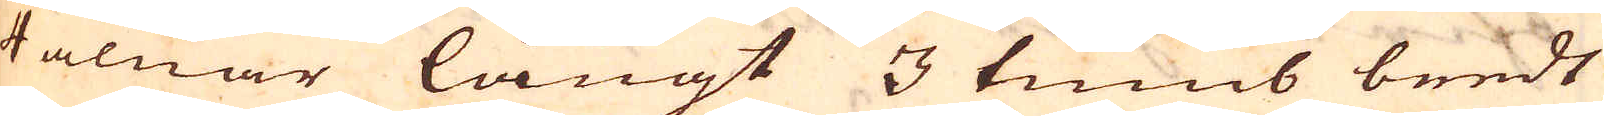4 alnar långt 3 tumb bredt
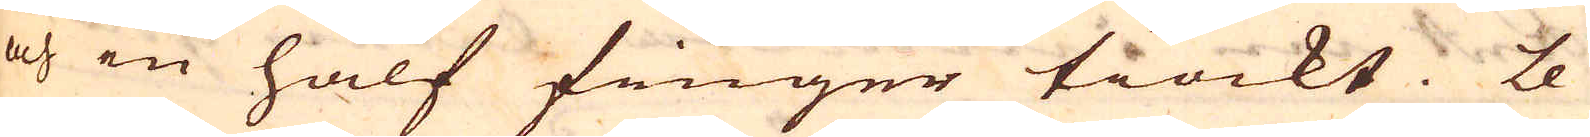och en half finger tiockt. Le
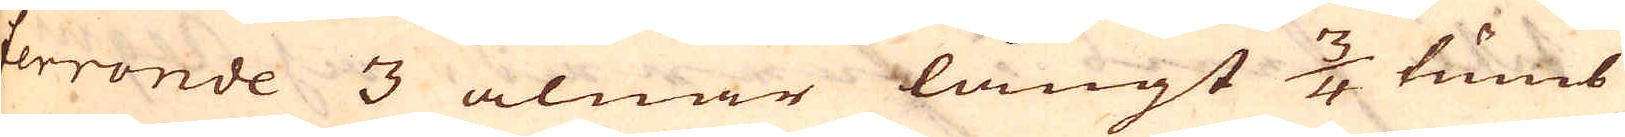ferronde 3 alnar långt 3/4 tumb
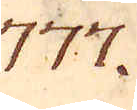777.
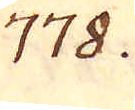778.
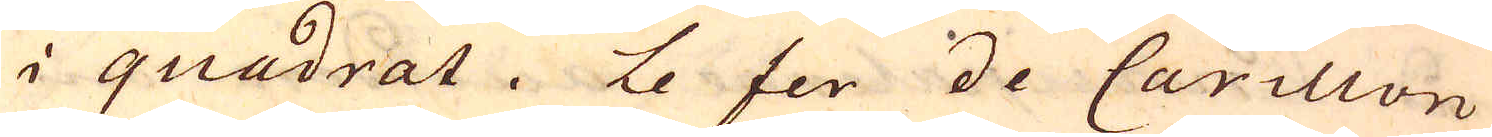i quadrat. Le fer de Carillon
